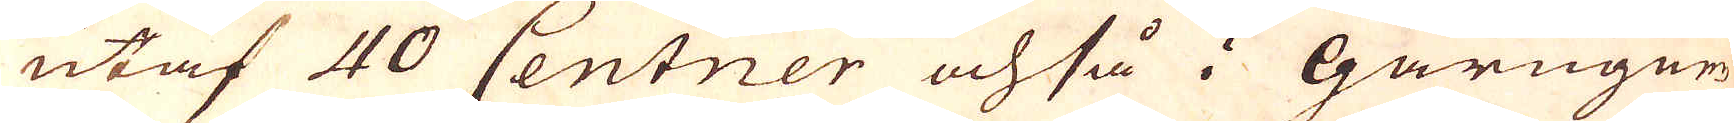utaf 40 Centner och så i Gårungnen
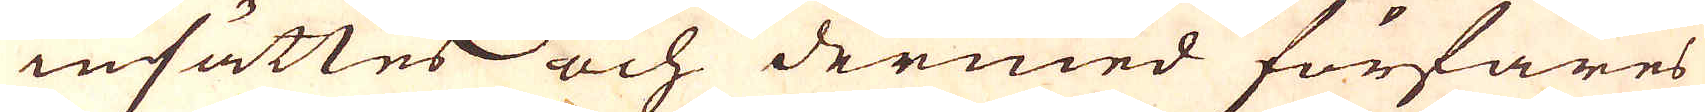insättes och dermed förfares
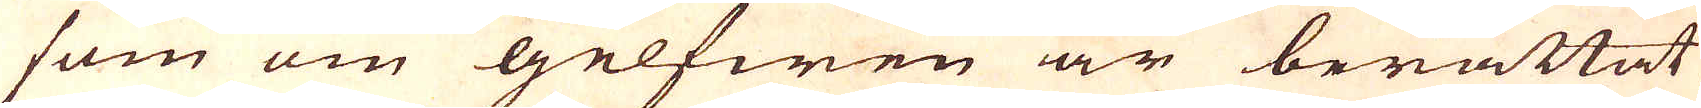som om gelfwen är berättat,
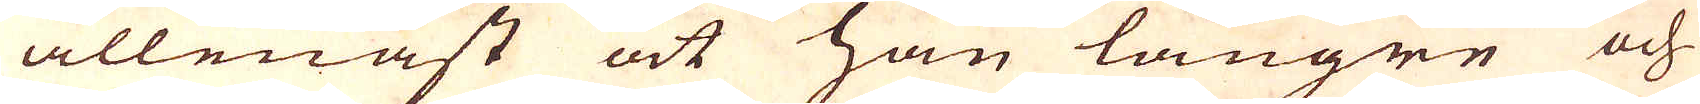allenast att han längre och
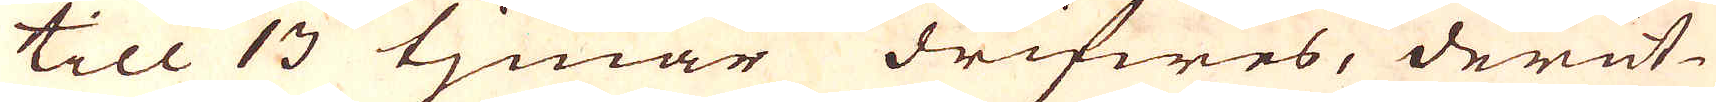till 13 tjmar drifwes, derut-
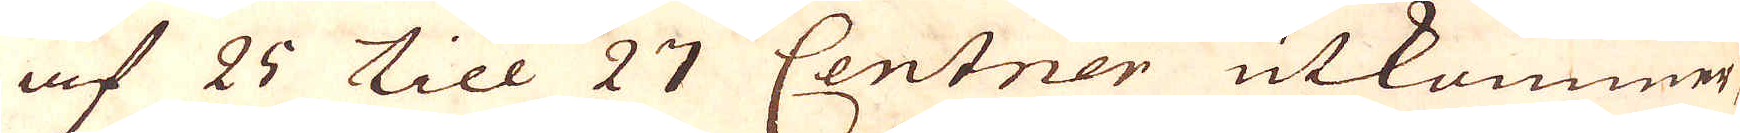af 25 till 27 Centner utkommer,
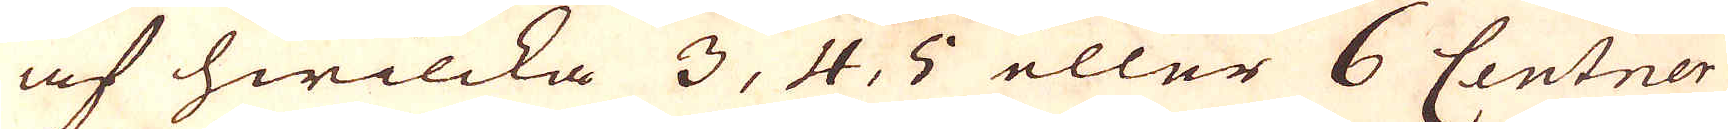af hwilcka 3, 4, 5 eller 6 Centner
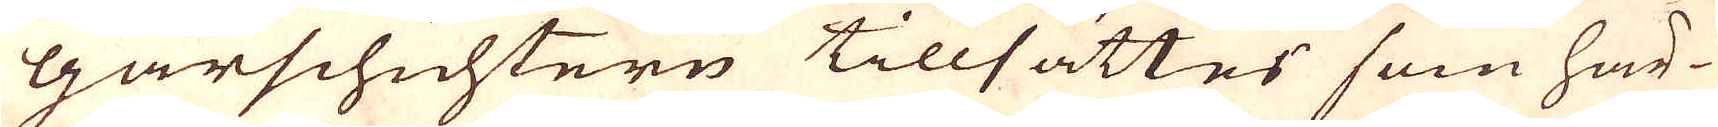Gårschichtern tillsättes som här-
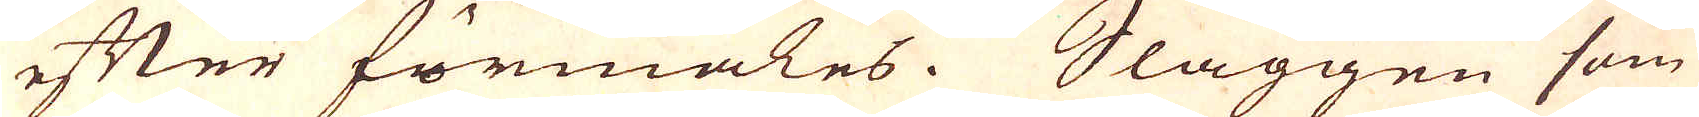efter förmäles. Slaggen som
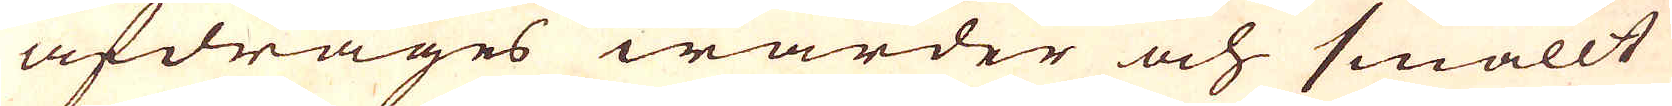afdrages warder och smällt
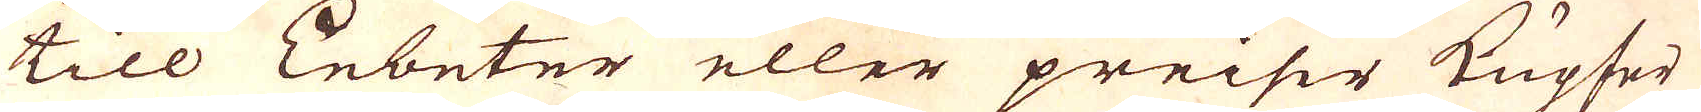till Enbeter eller preiser Kupfer
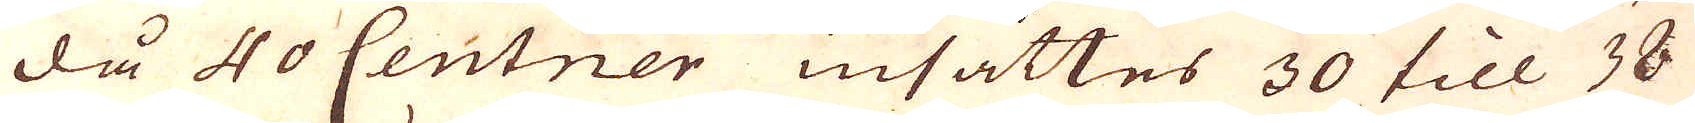då 40 Centner insättes 30 till 38
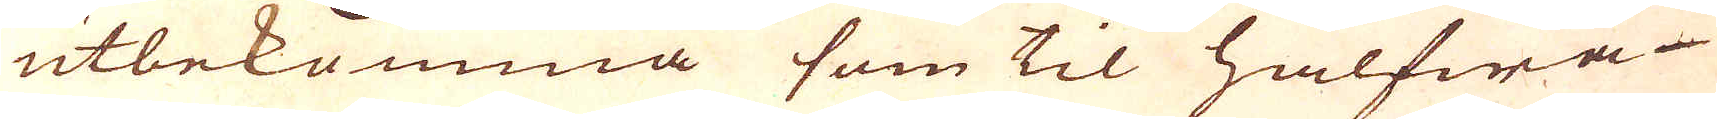utbekomma som til halfwa
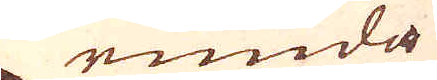runda
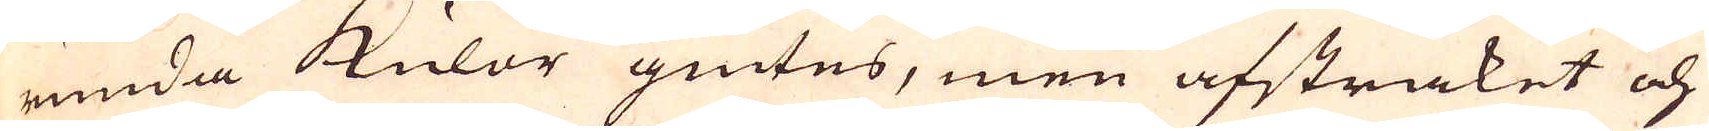runda kulor giutes, men afstraket och
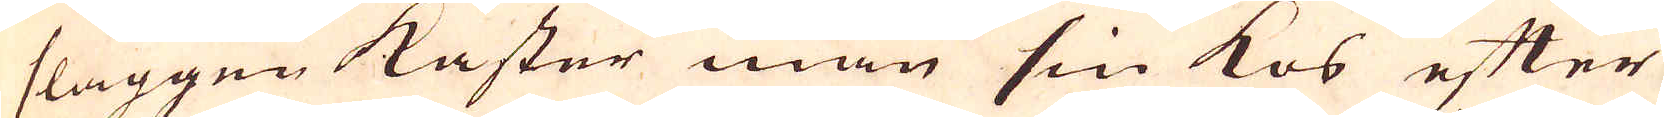slaggen kastar man sin kos efter
